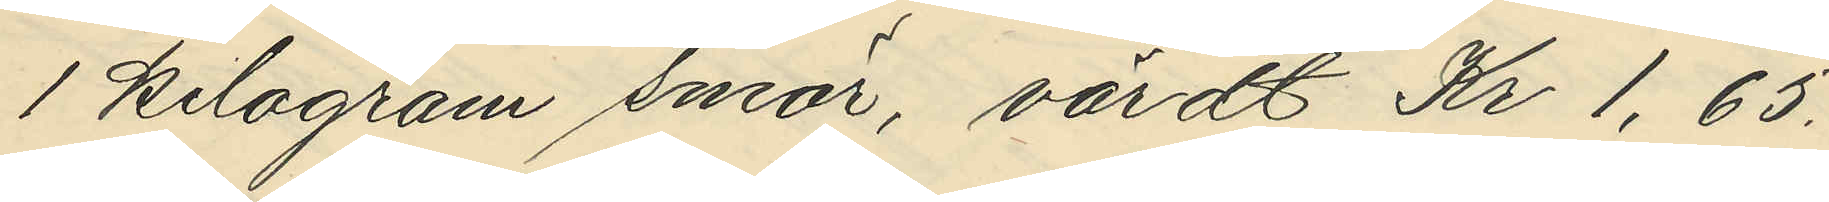1 kilogram smör, värdt Kr 1,65.
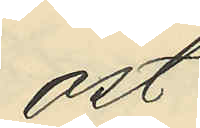ost
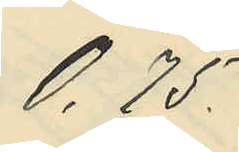0,75
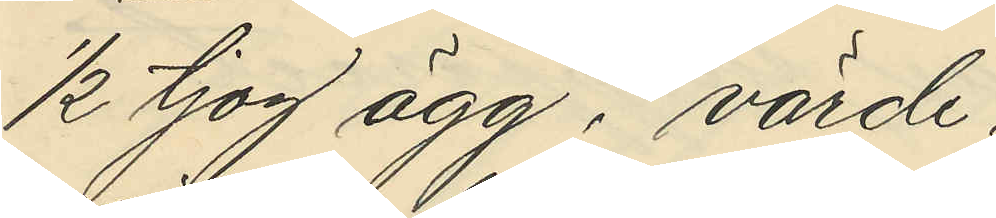½ tjog ägg, värde
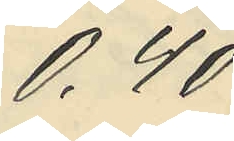0,40
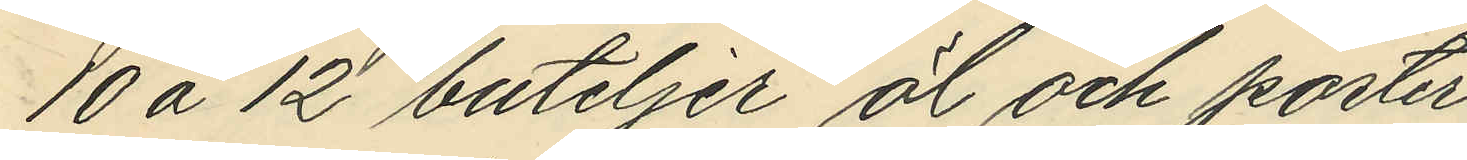10 à 12 buteljer öl och porter
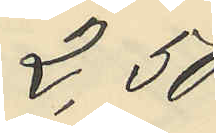2,50
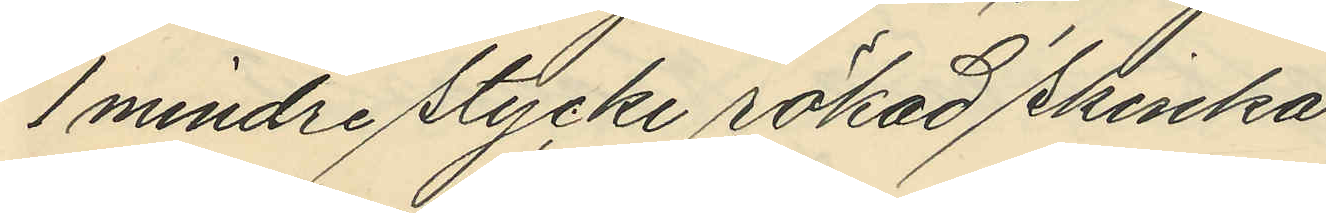1 mindre stycke rökad skinka
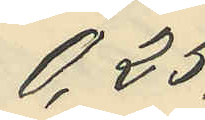0,25
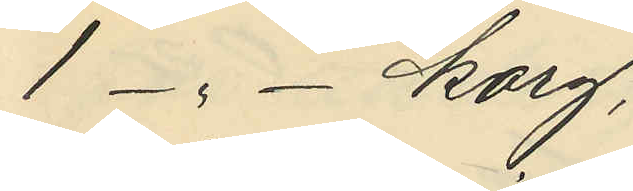1 - " - korg,
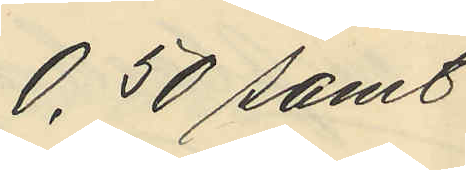0,50 samt
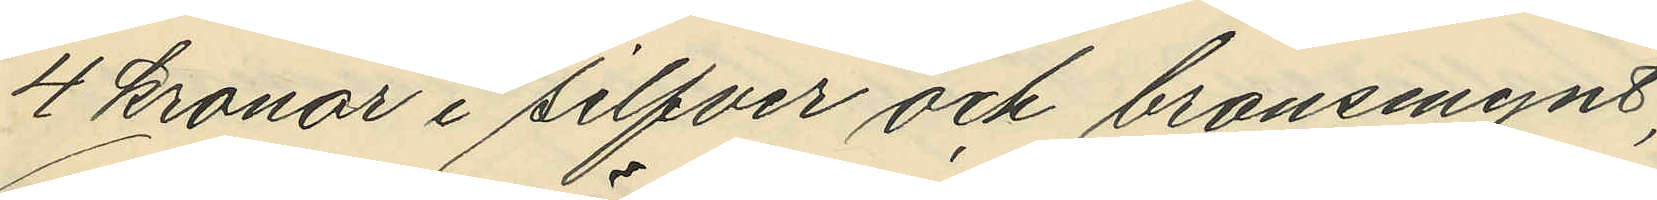4 kronor i silfver och bronsmynt;
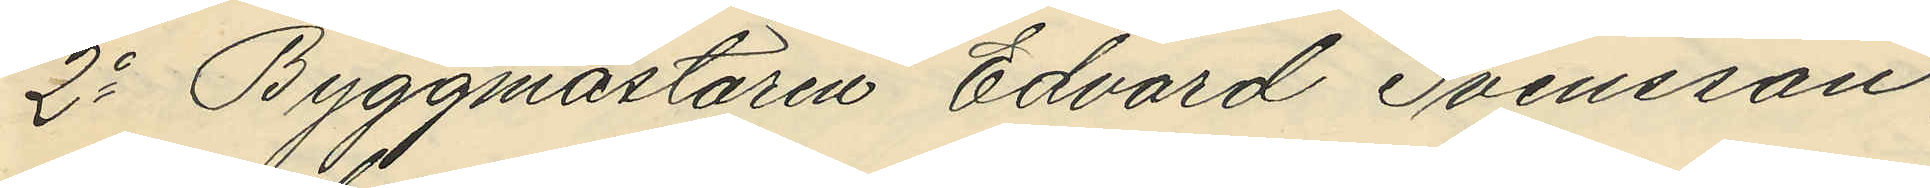2o Byggmästaren Edvard Svensson,
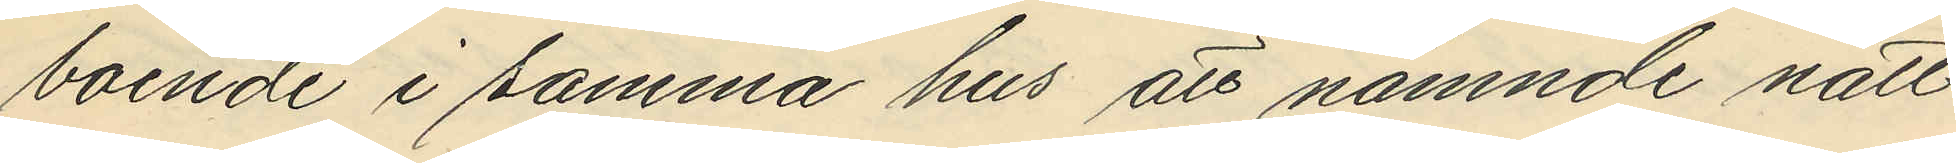boende i samma hus att nämnde natt
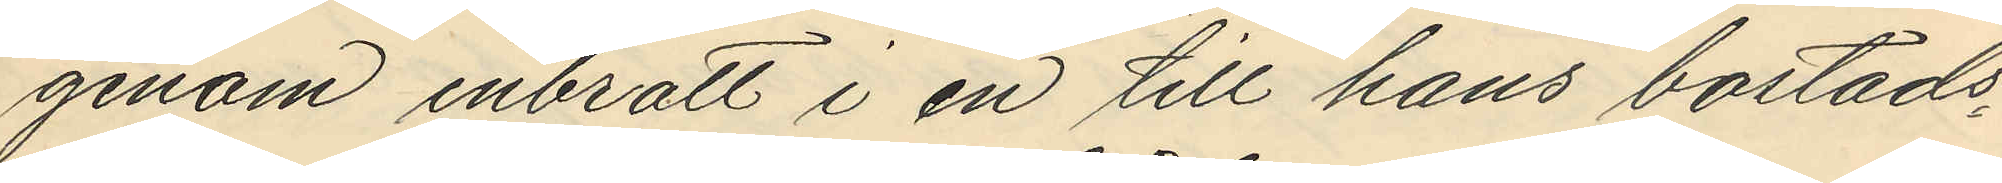genom inbrott i en till hans bostads¬
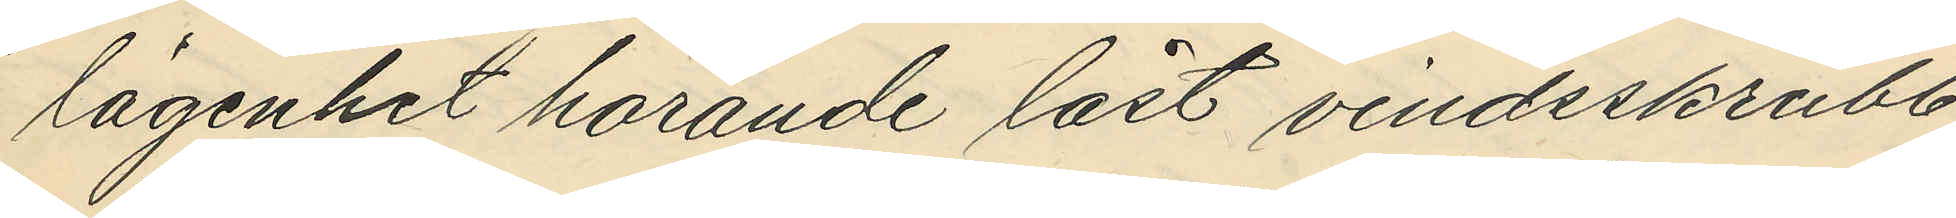lägenhet hörande låst vindsskrubb,
